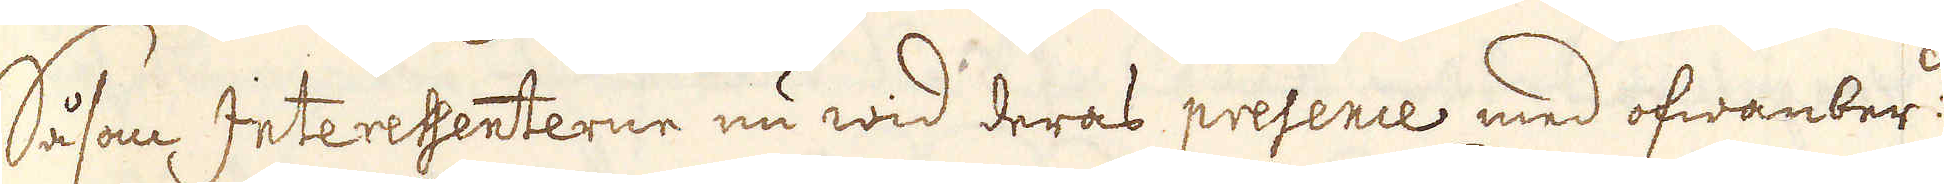Såsom Interessenterne nu wid deras presence med ofwanber:de
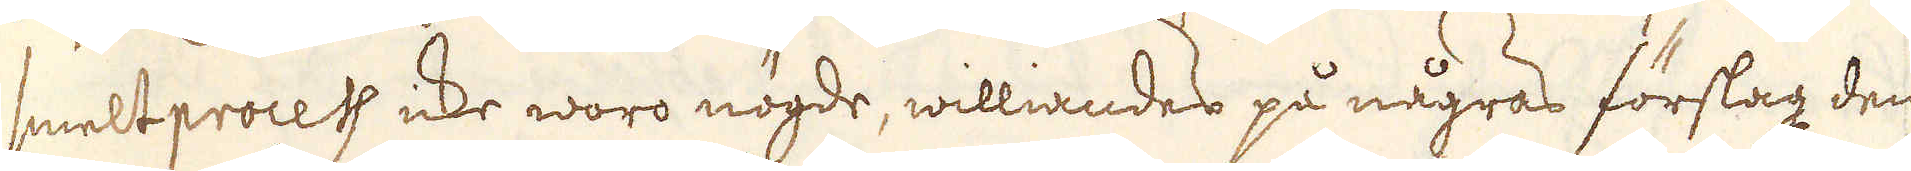smeltprocess icke woro nögde, williandes på någras förslag den
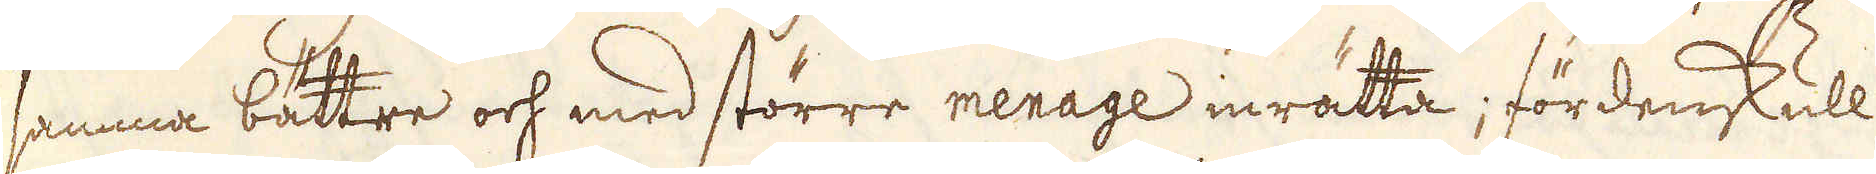samma bättre och med större menage inrätta; fördenskull
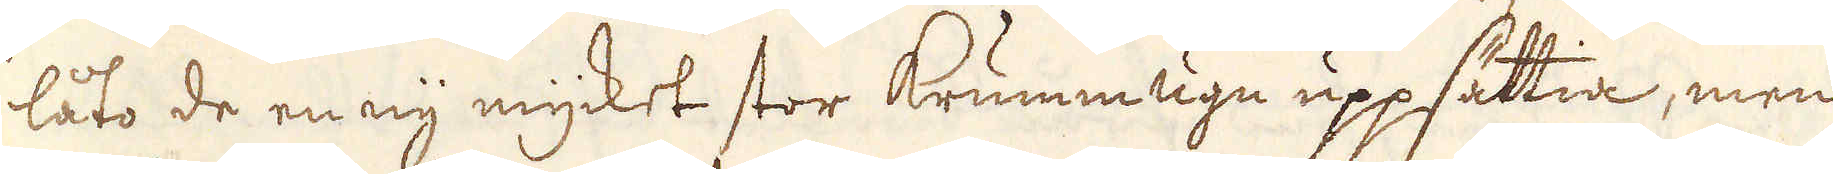låto de en ny mycket stor krummugn uppsättia, men
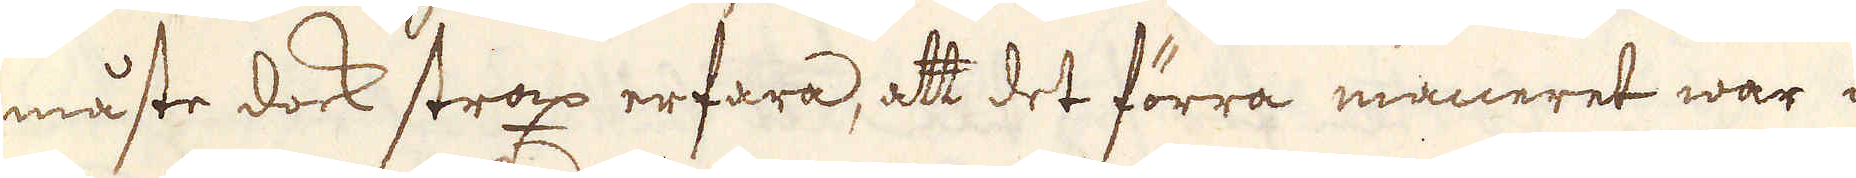måste dock strax erfara, att det förra maneret war i
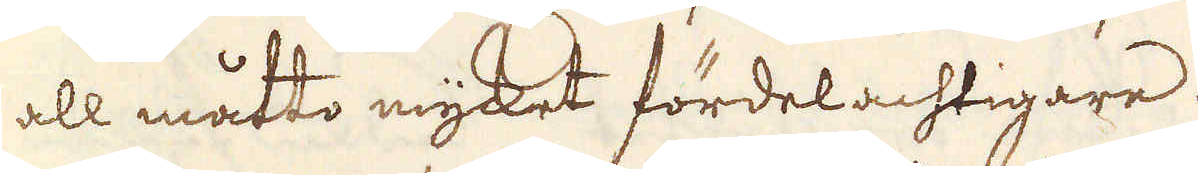all måtto mycket fördelachtigare.
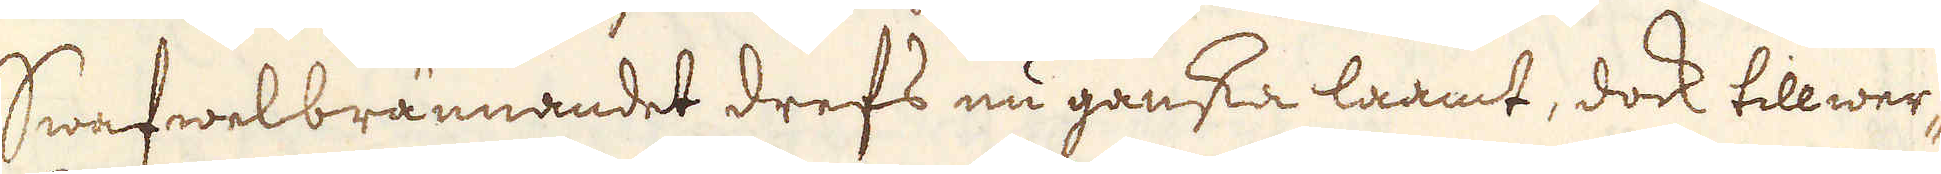Swafwelbrännandet drefs nu ganska laamt, dock tillwer-
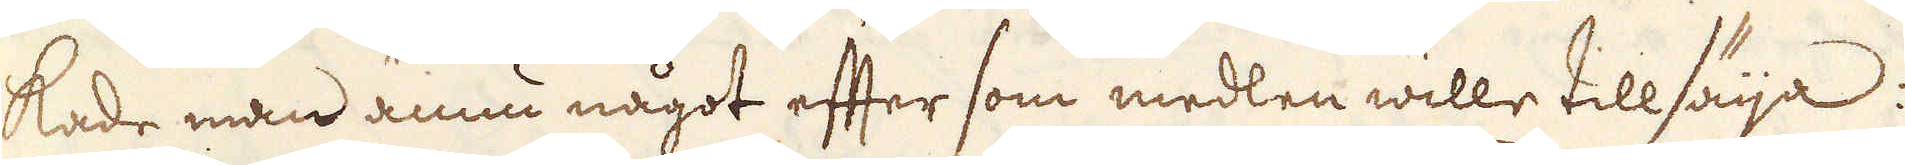kade man ännu något efter som medlen wille tillsäija:
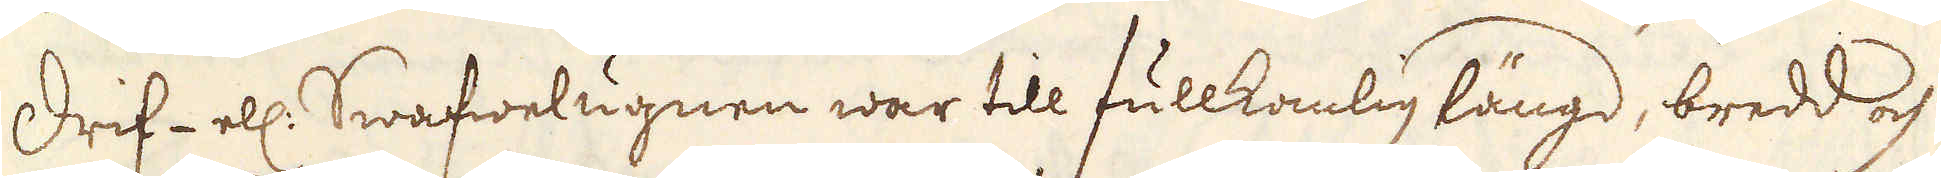Drif- ell: Swafwelugnen war till fullkomlig längd, bredd och
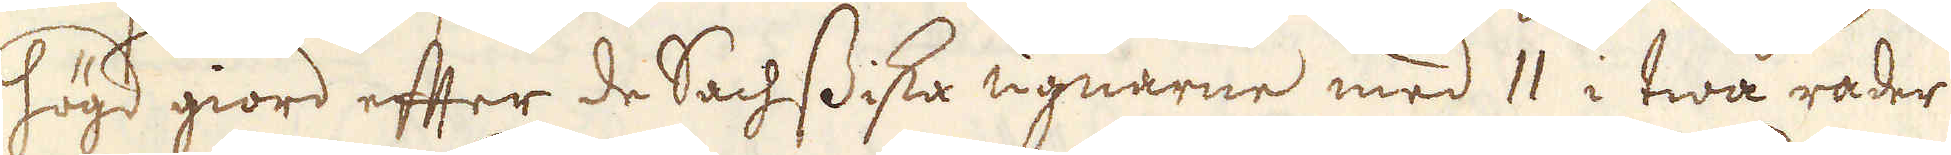högd giord efter de Sachssiska ugnarne med 11 i twå rader
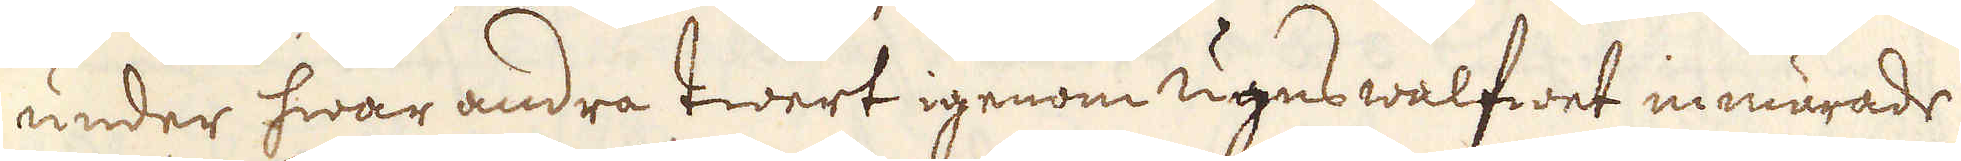under hwar andra twert igenom ugns walfwet inmurades
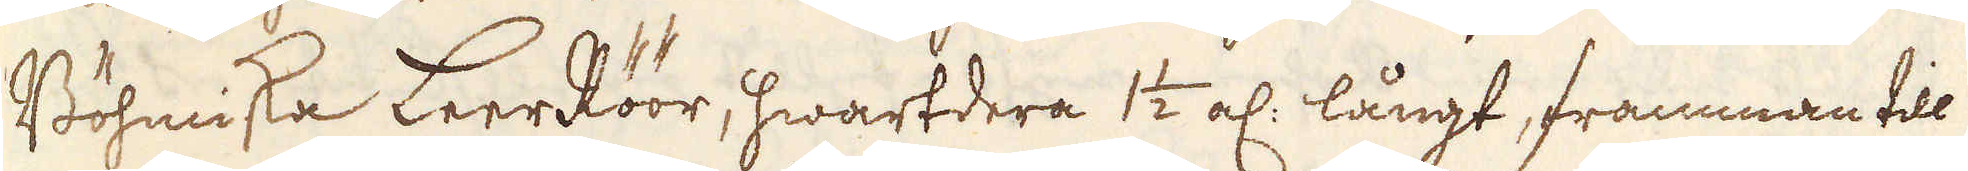Böhmiska LeerRöör, hwartdera 1 1/2 al: långt, framman till
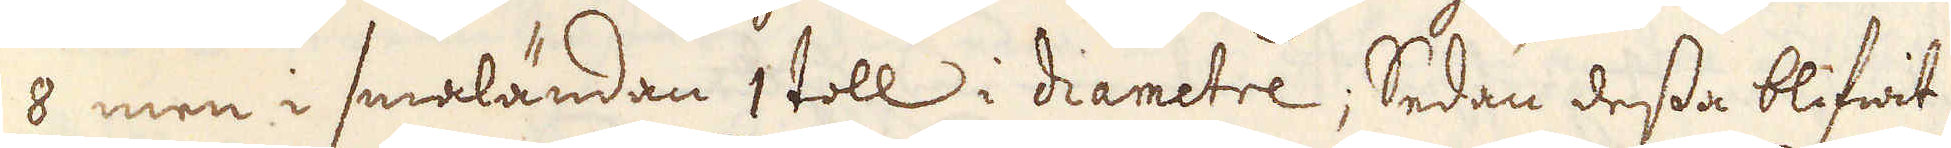8 men i smaländan 1 toll i diametre; Sedan dessa blifwit
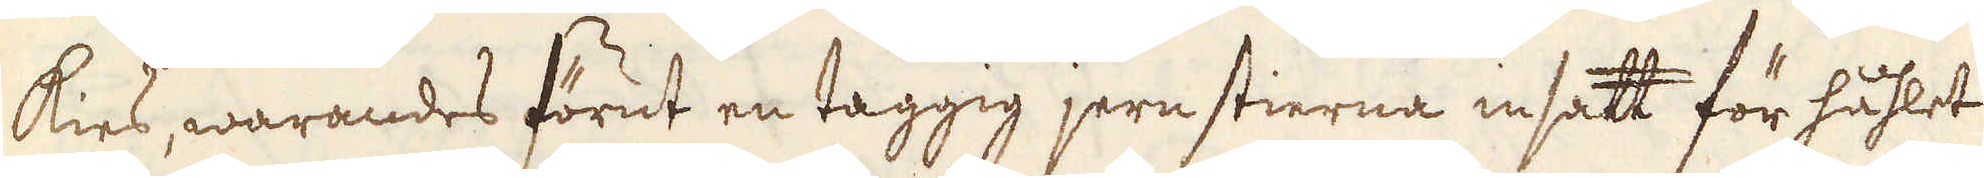kies, warandes förut en taggig jern stierna insatt för håhlet
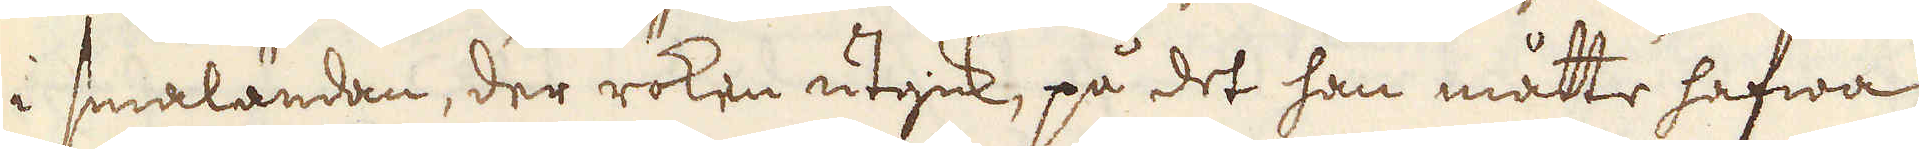i smaländan, der röken utgick, på det han måtte hafwa
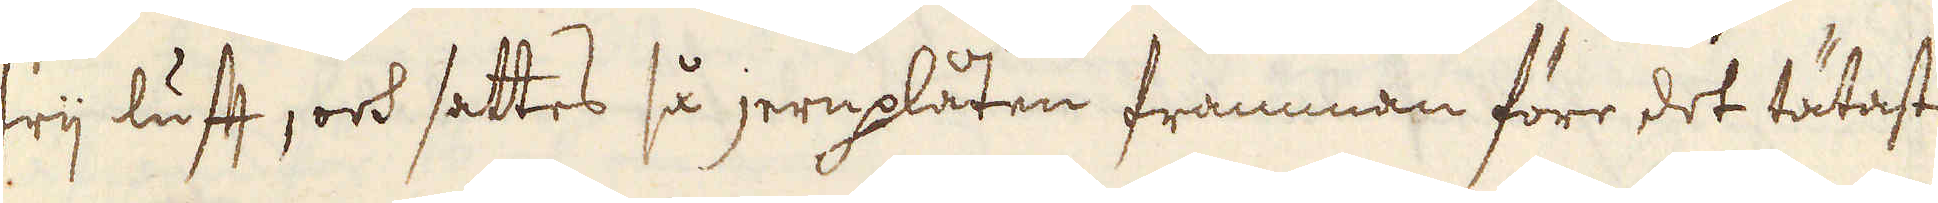frij luft, och sattes så jernplåten framman före det tätaste
